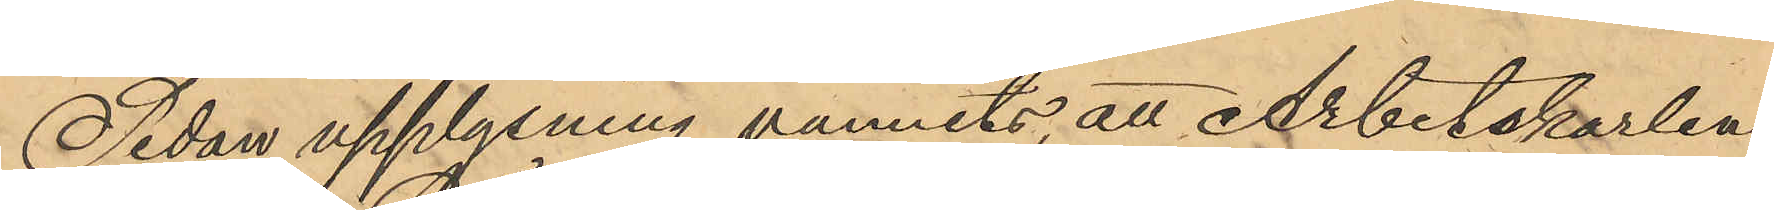Sedan upplysning vunnits, att Arbetskarlen
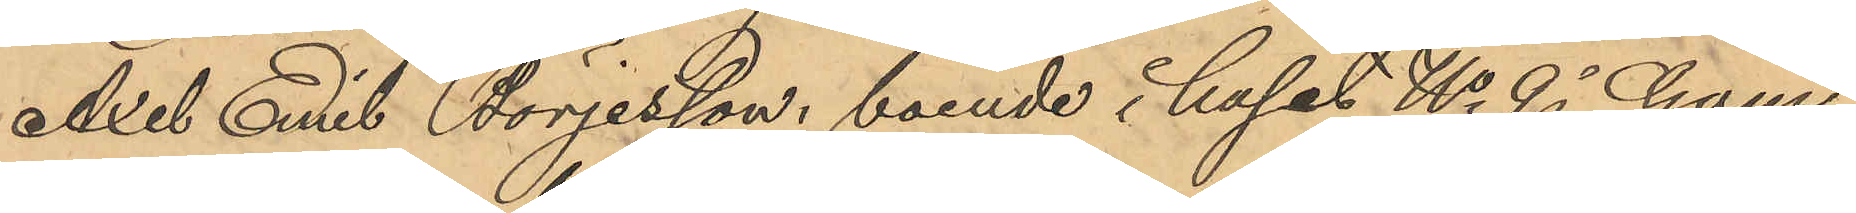Axel Emil Börjesson, boende i huset No 9 i Gam¬
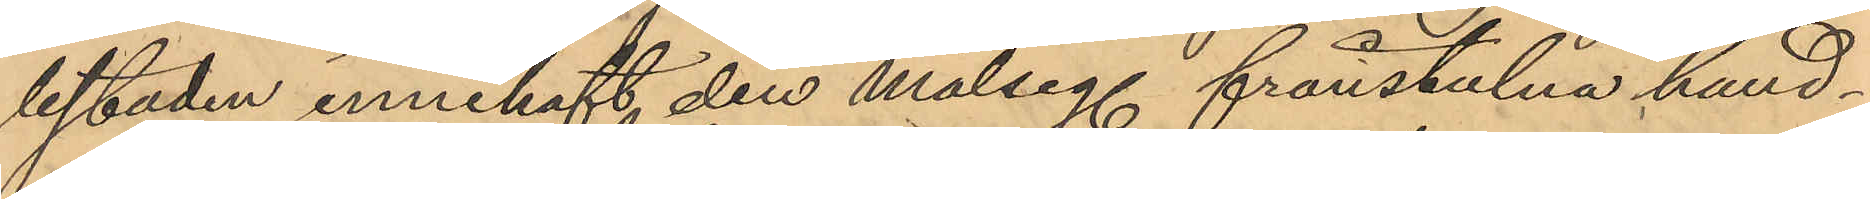lestaden innehaft den målseg. frånstulna hand¬
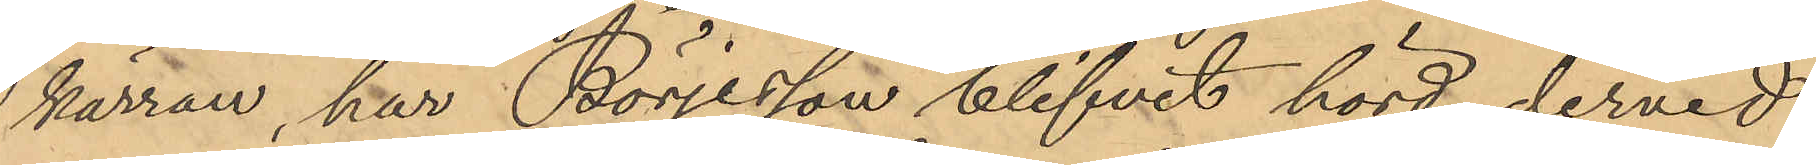kärran, har Börjesson blifvit hörd dervid
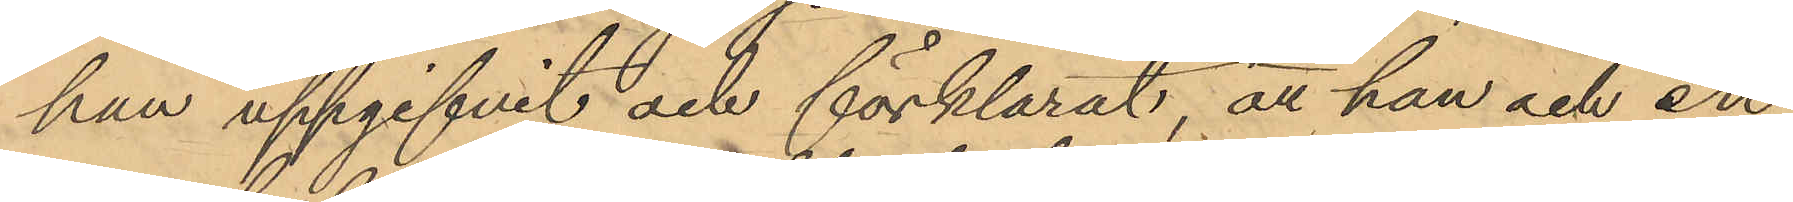han uppgifvit och förklarat, att han och en
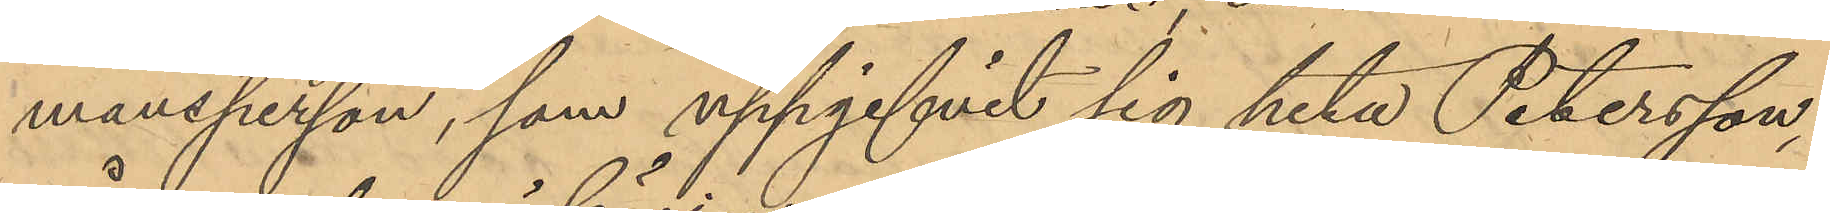mansperson, som uppgifvit sig heta Petersson,
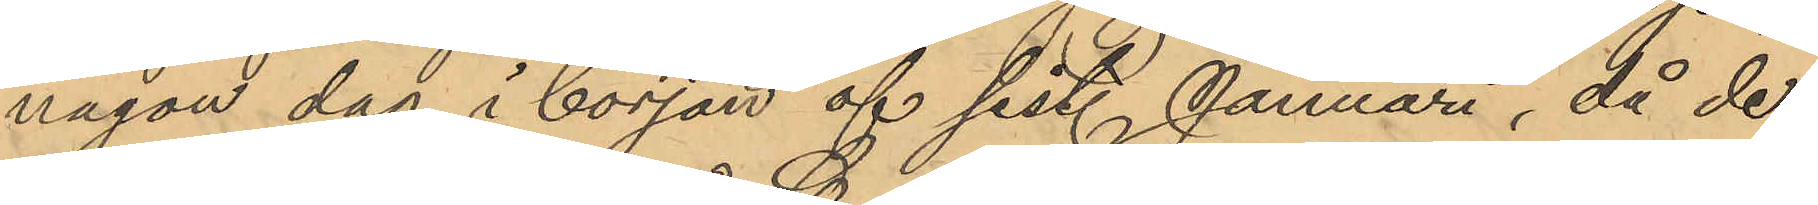någon dag i början af sist. Januari, då de
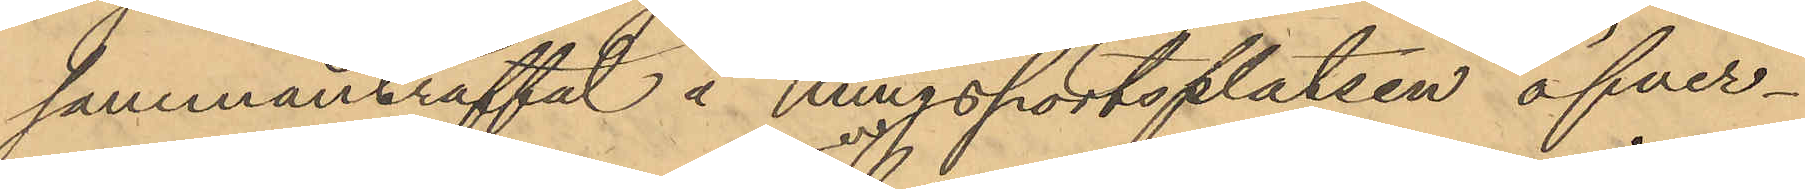sammanträffat å Kungsportsplatsen öfver¬
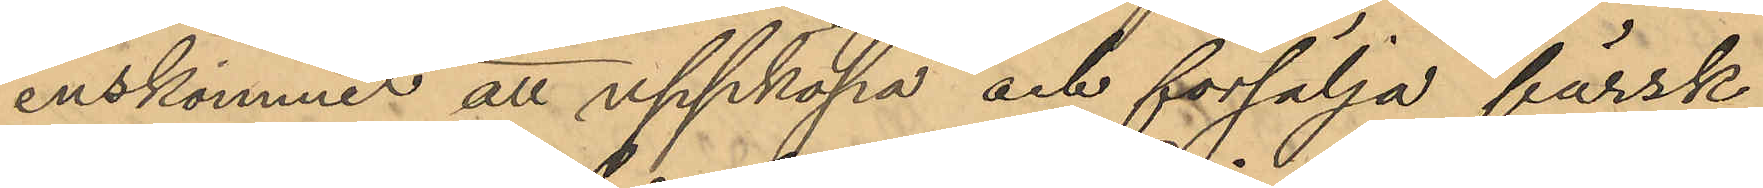enskommer att uppköpa och försälja färsk
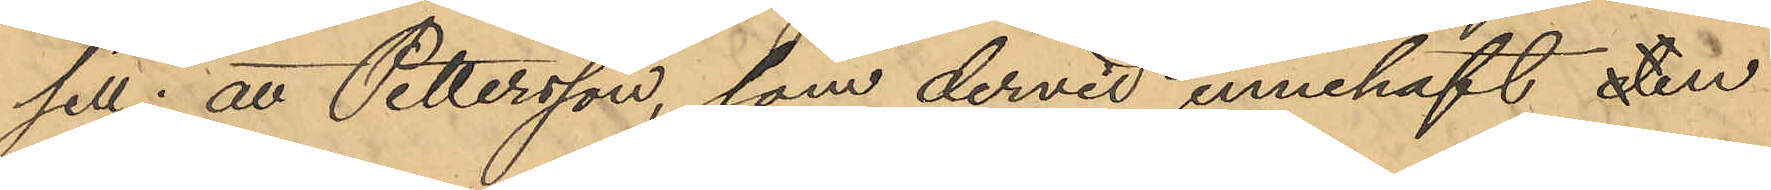sill; att Pettersson, som dervid innehaft en
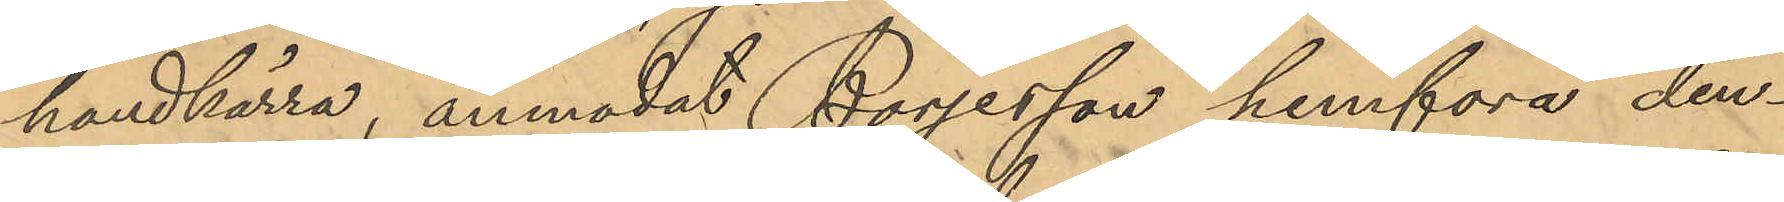handkärra, anmodat Börjesson hemfora den¬
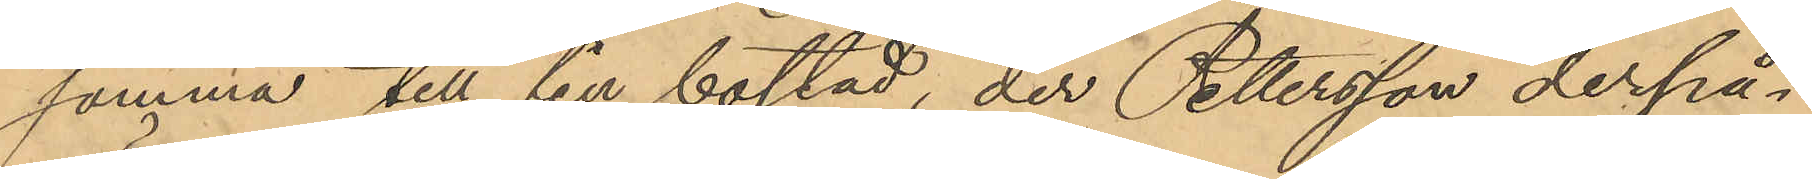samma till sin bostad, der Pettersson derpå¬
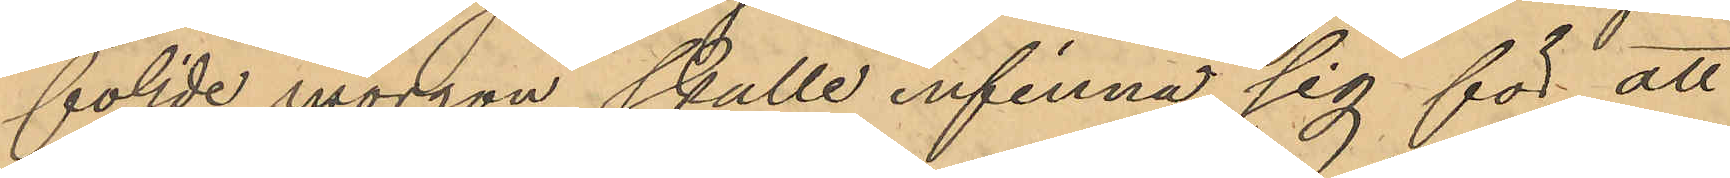följde morgon skulle infinna sig för att
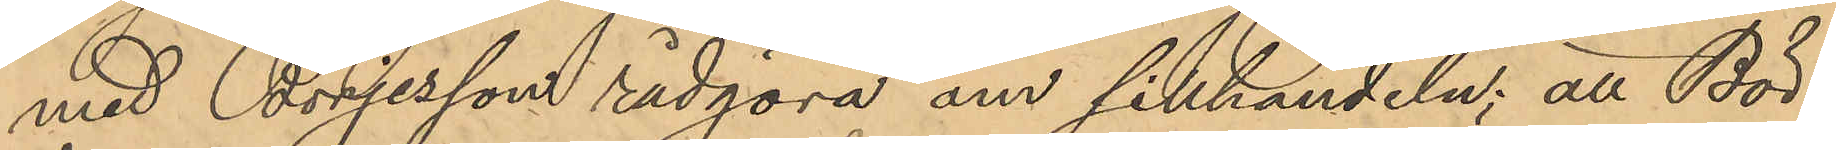med Börjesson rådgöra om sillhandeln; att Bör¬
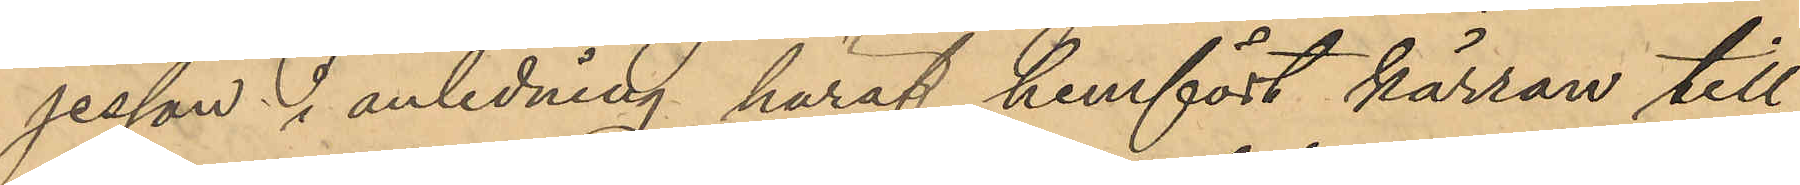jesson i anledning häraf hemfört kärran till
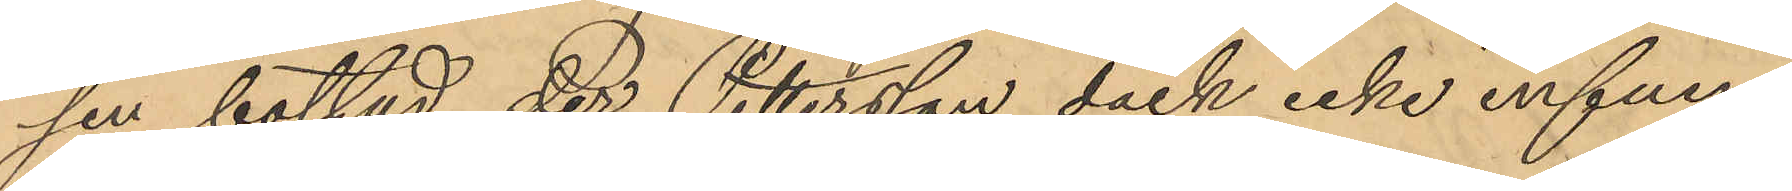sin bostad, der Pettersson dock icke infun¬
